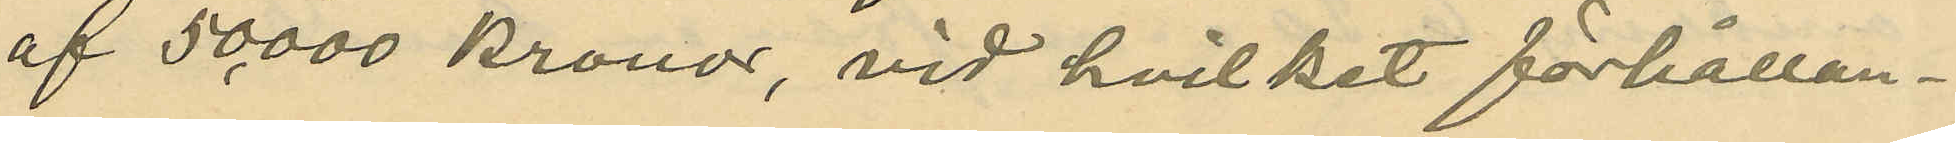af 50,000 kronor, vid hvilket förhållan¬
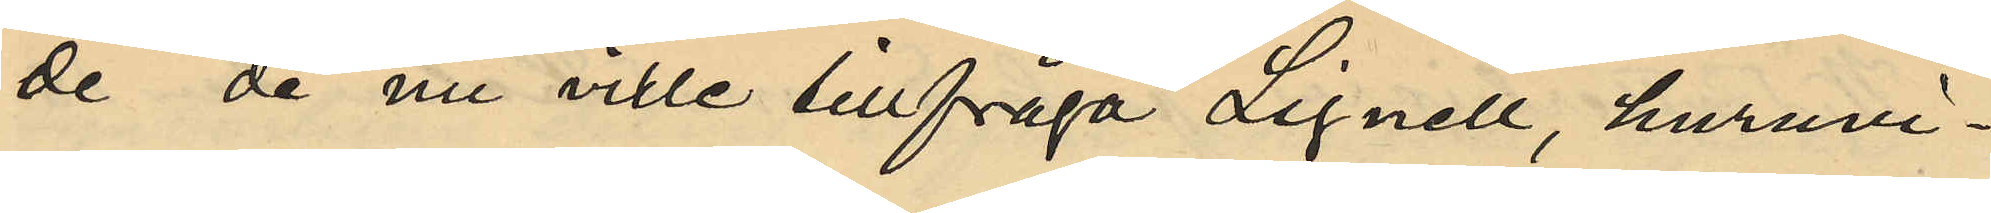de de nu ville tillfråga Lignell, huruvi¬
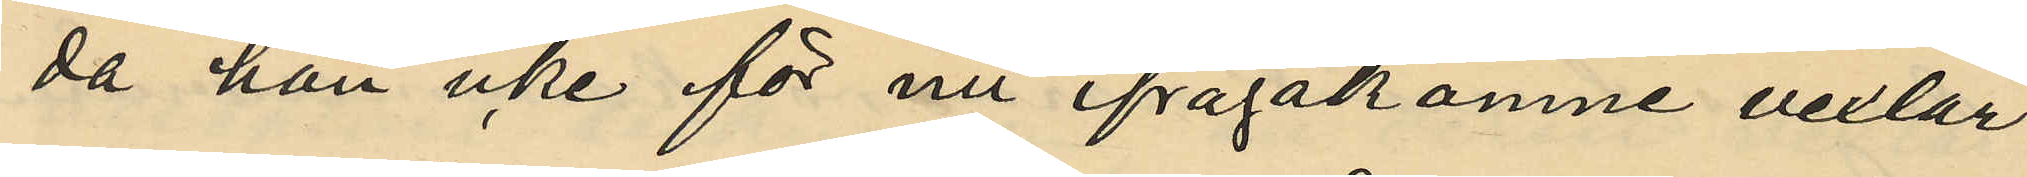da han icke för nu ifrågakomne vexlar
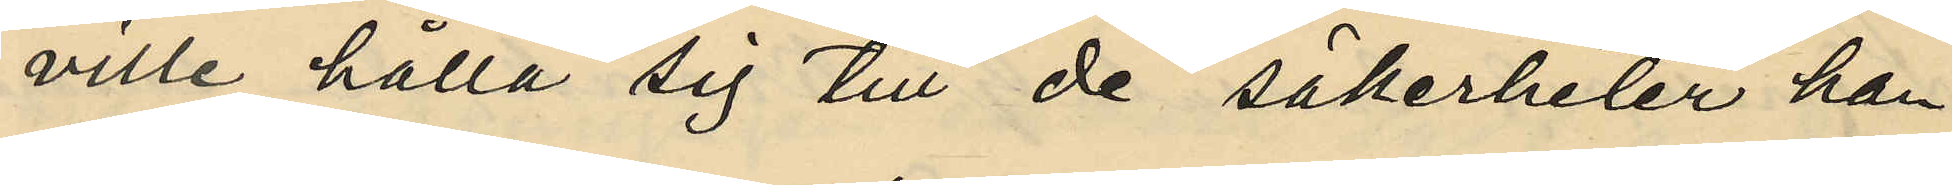ville hålla sig till de säkerheter han
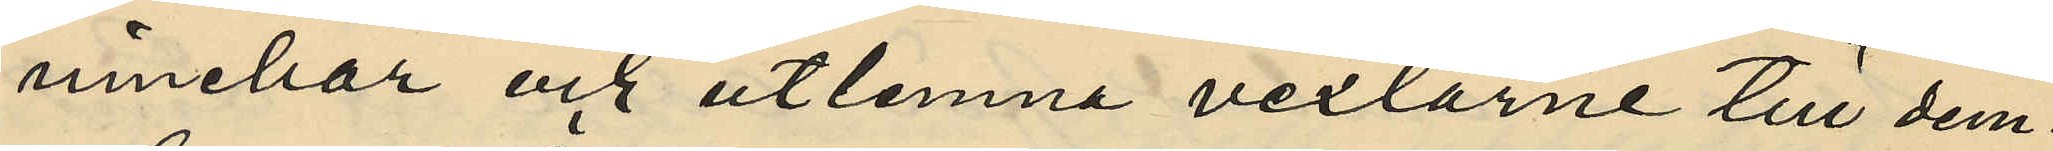innehar och utlemna vexlarne till dem.
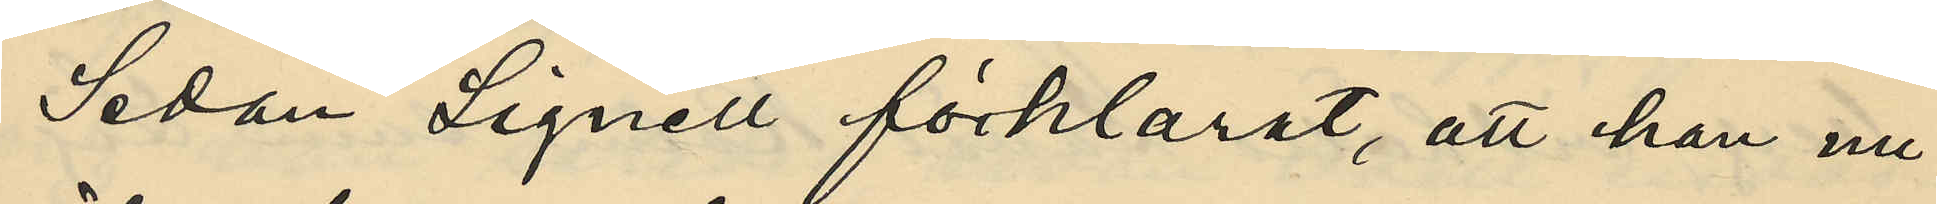Sedan Lignell förklarat, att han nu
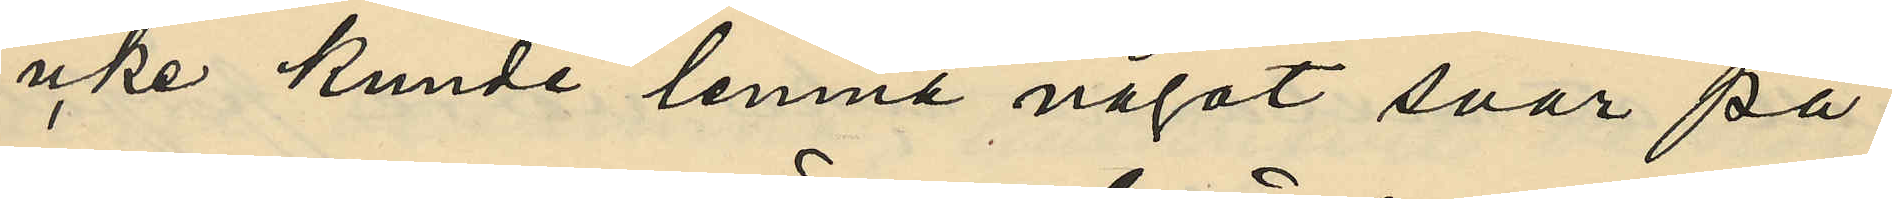icke kunde lemna något svar på
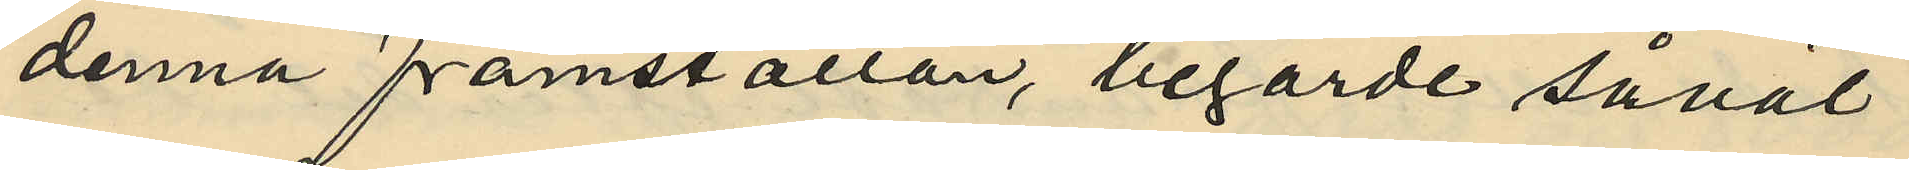denna framställan, begärde såväl
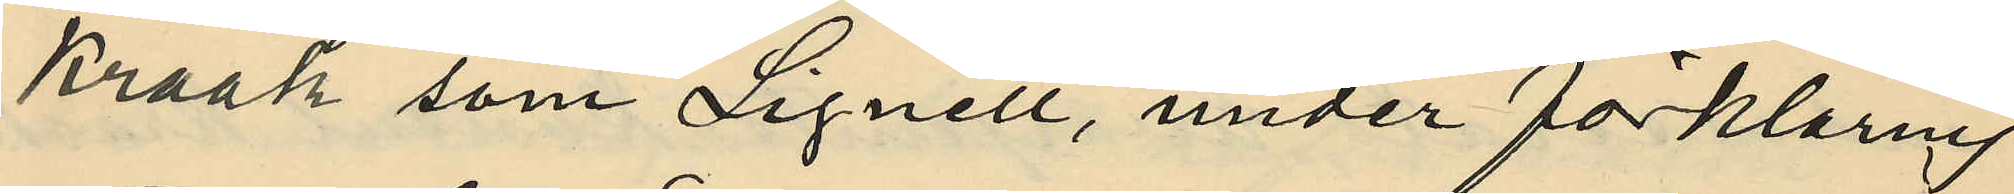Kraak som Lignell, under förklaring
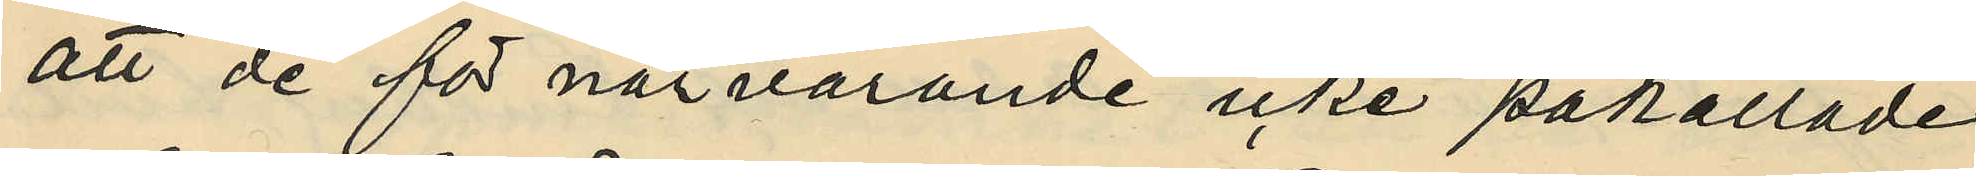att de för närvarande icke påkallade
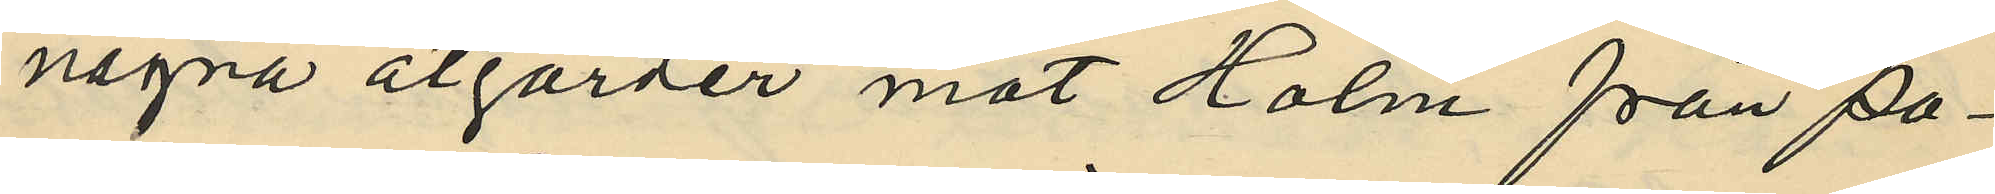några åtgärder mot Holm från Po¬
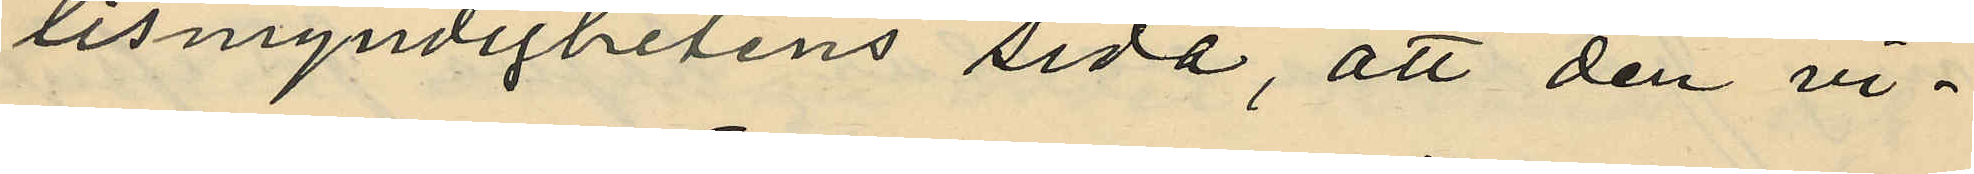lismyndighetens sida, att den vi¬
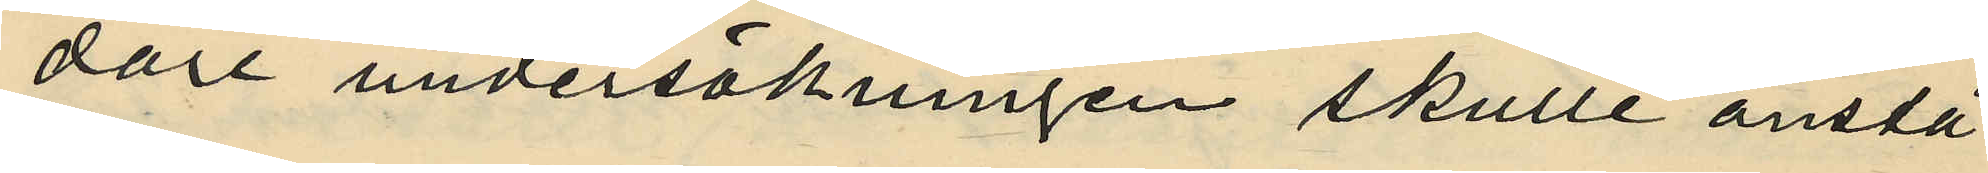dare undersökningen skulle anstå
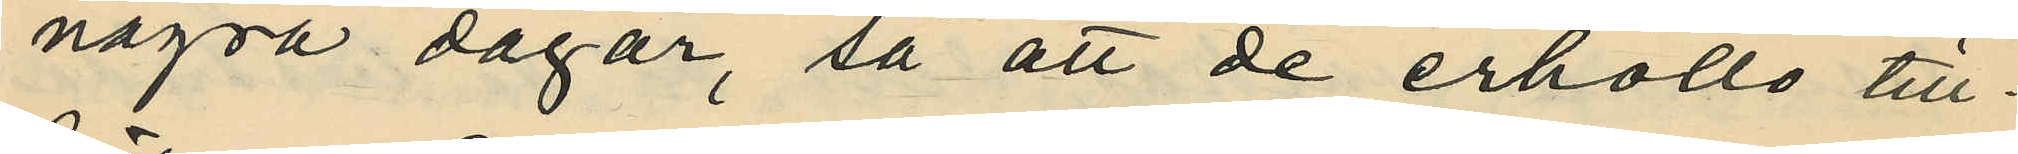några dagar, så att de erhöllo till¬
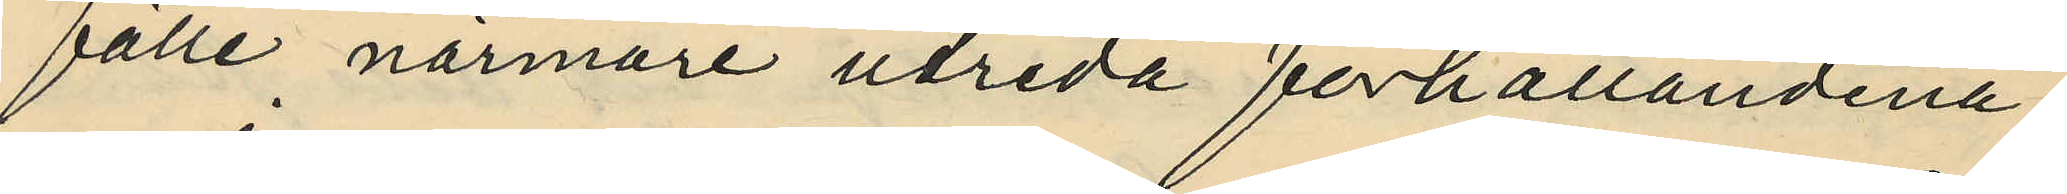fälle närmare utreda förhållandena.
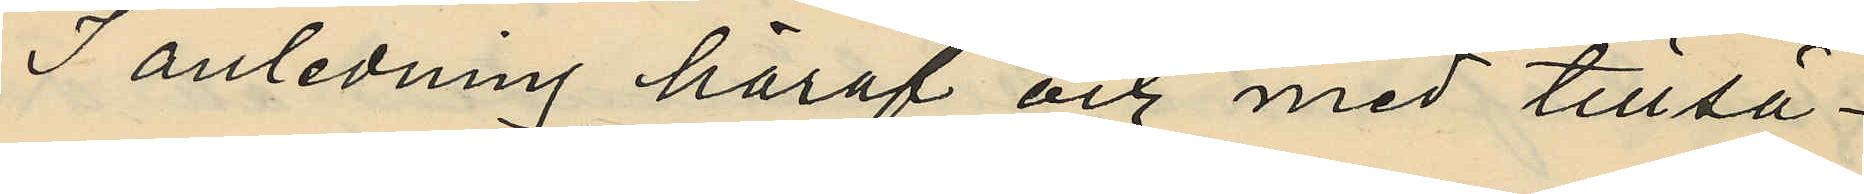I anledning häraf och med tillsä¬
